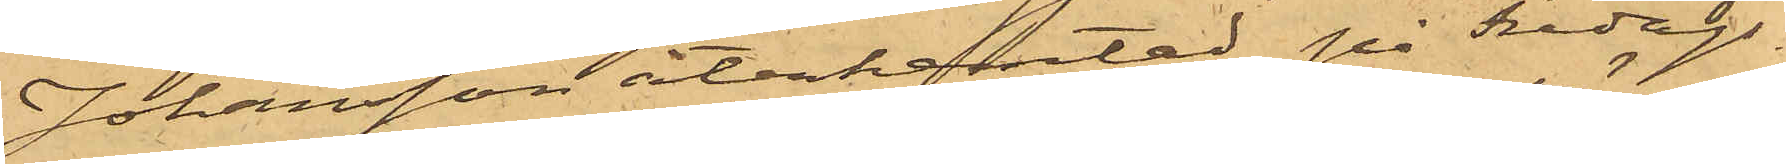Johansson återhemtad på Fredags¬
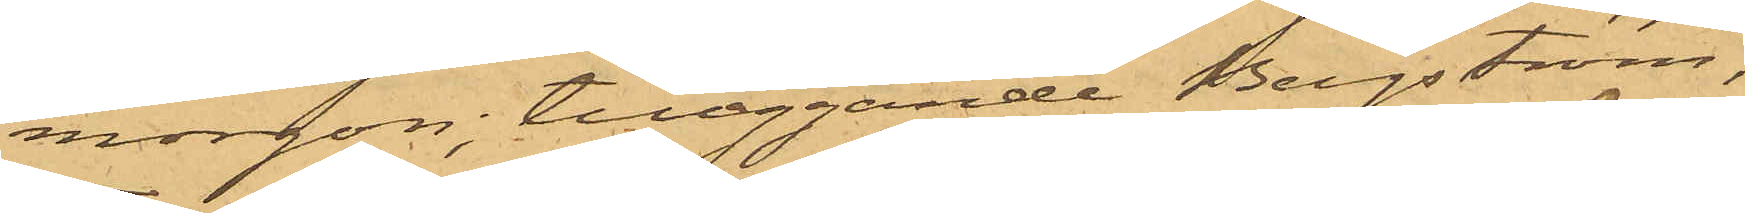morgon, tilläggande Bergström,
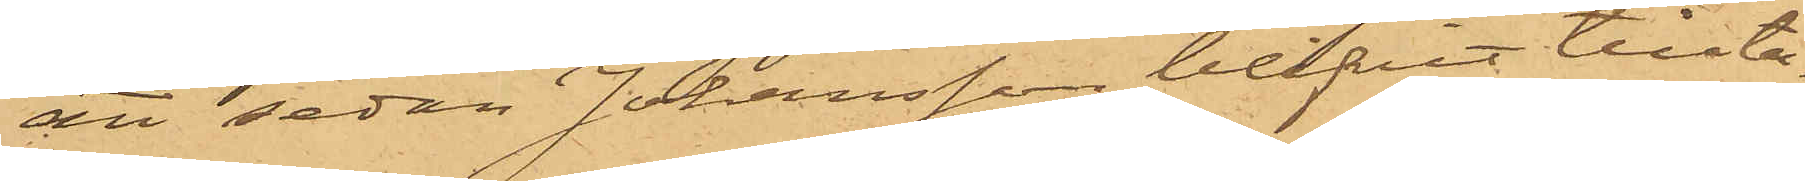att sedan Johansson blifvit tillta¬
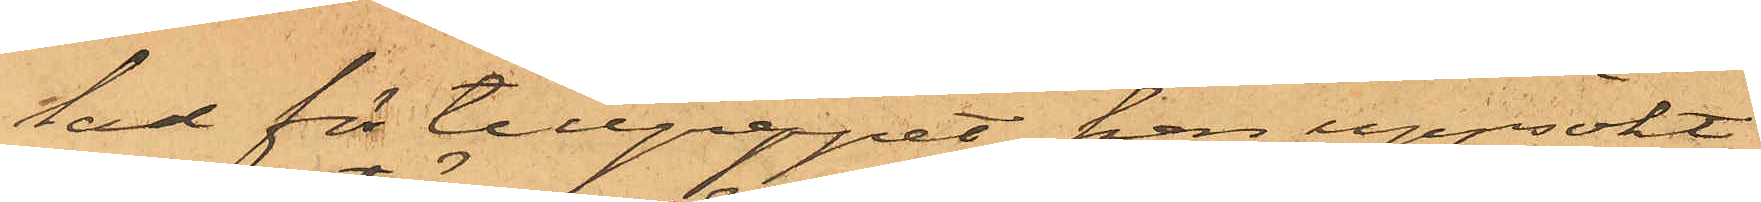tad för tillgreppet, han uppsökt
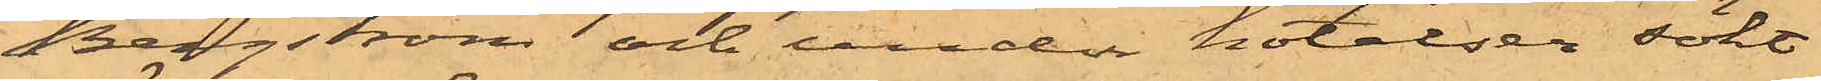Bergström och under hotelser sökt
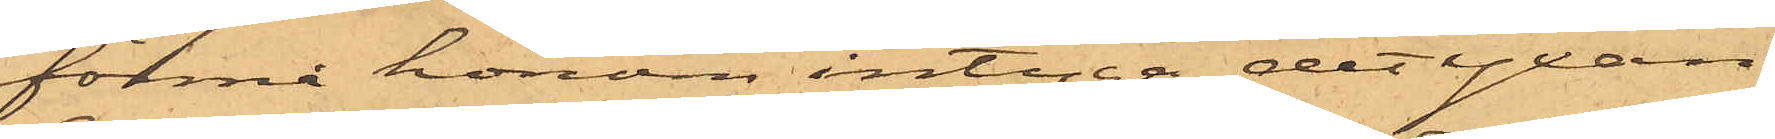förmå honom intyga, det yxan
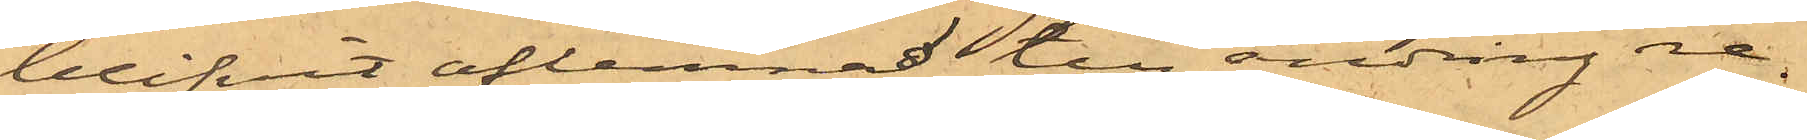blifvit aflemnad till ändring re¬
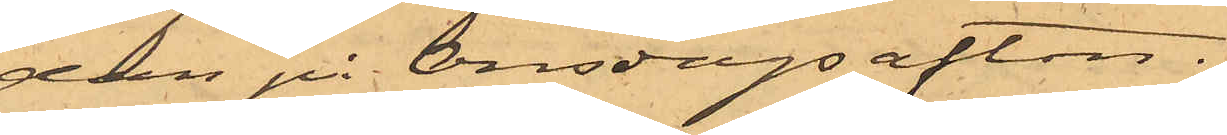dan på Onsdagsafton.
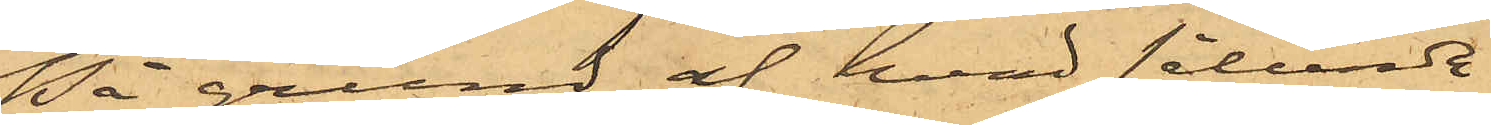På grund af hvad sålunda
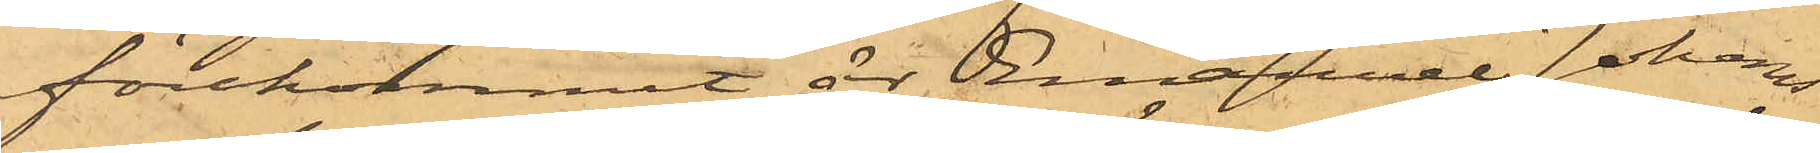förekommit, är Emanuel Johans¬
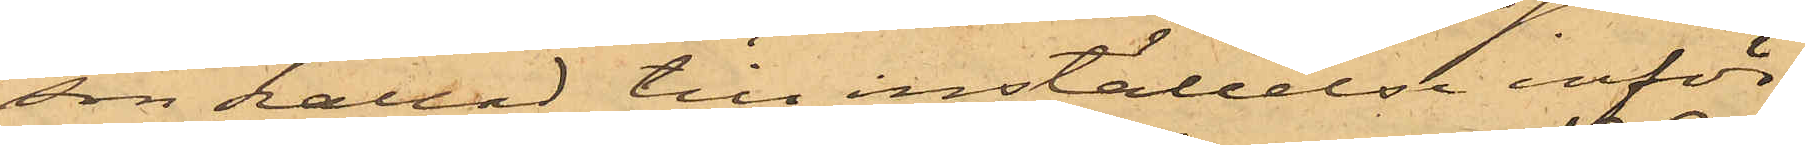son kallad till inställelse inför
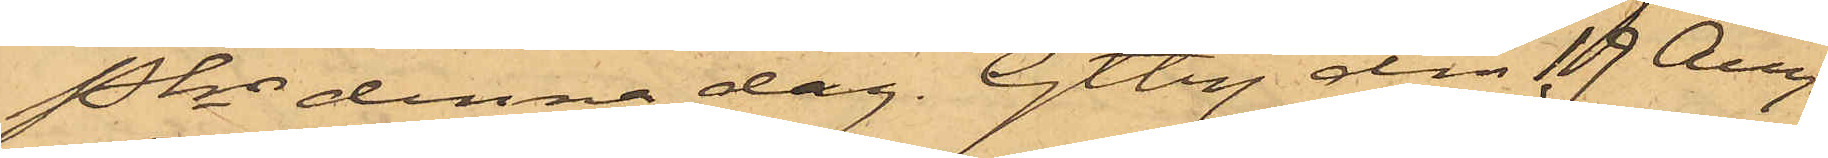Pkn denna dag. Gtbg den 19 Aug.
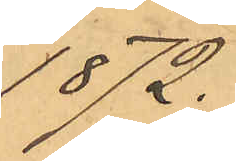1872.
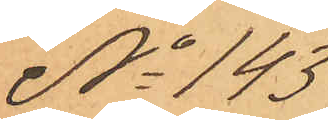No 143
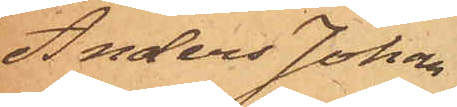Anders Johan
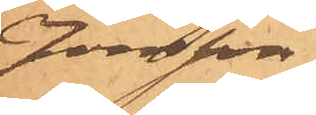Jonsson
